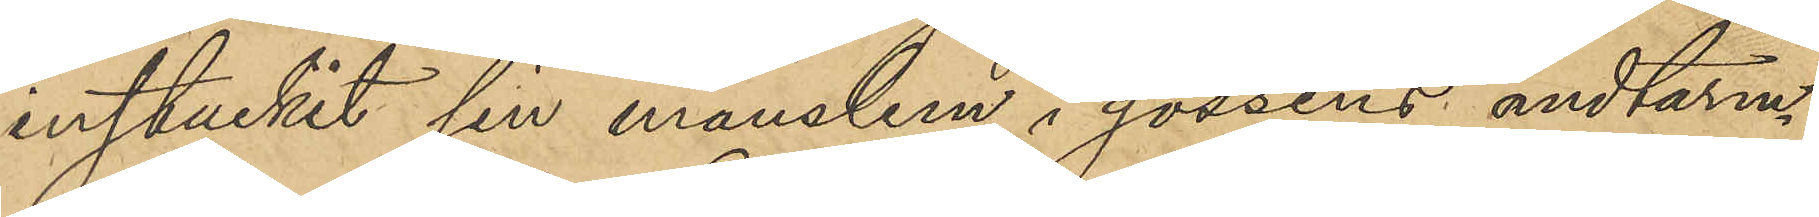instuckit sin manslem i gossens ändtarm.
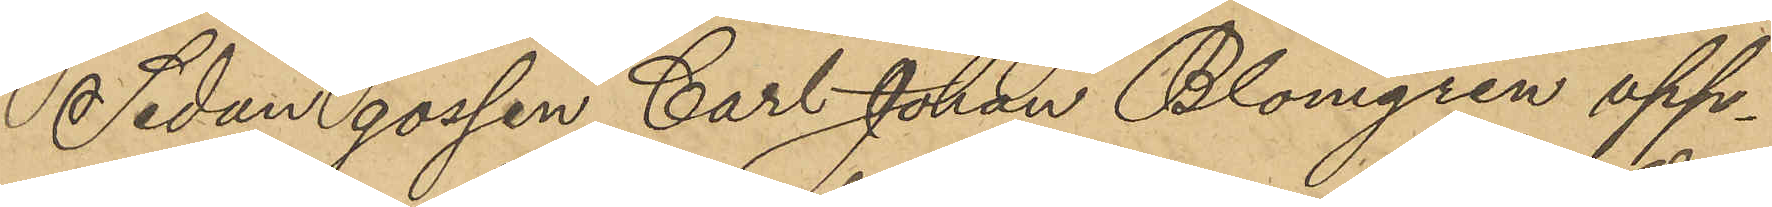Sedan gossen Carl Johan Blomgren upp¬
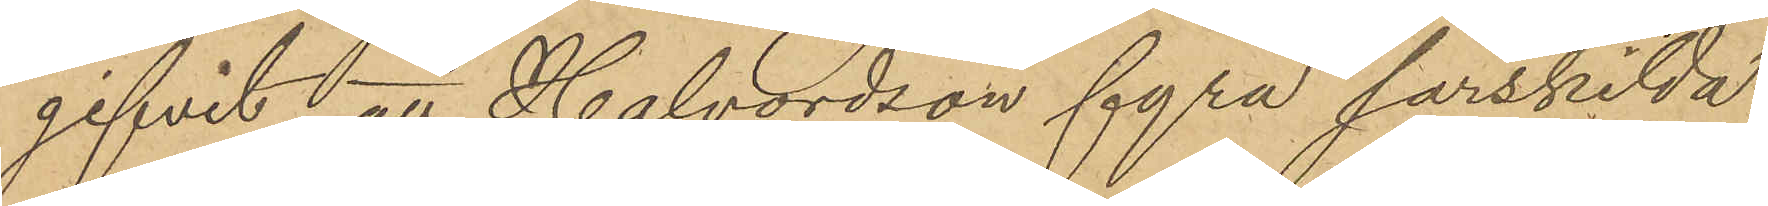gifvit, att Halvordson fyra särskilda
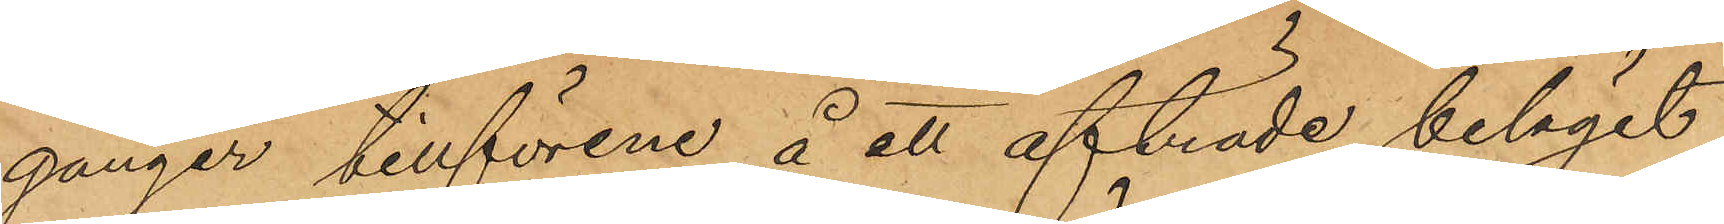gånger tillförene å ett afträde, beläget
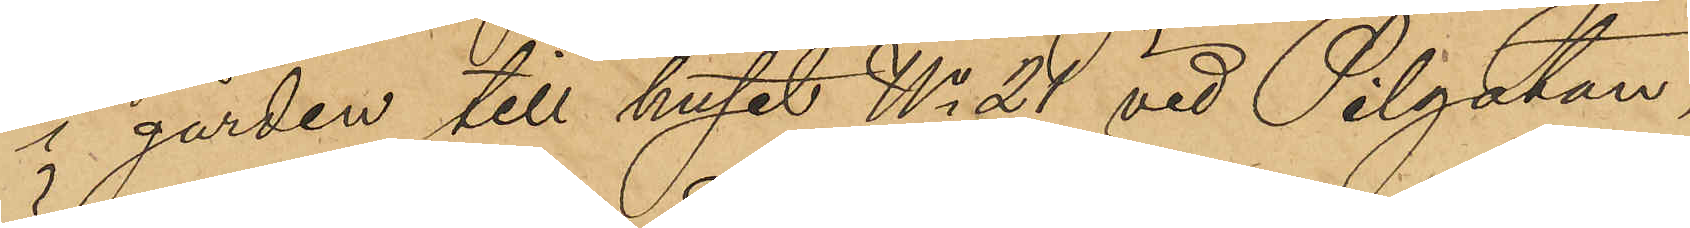i gården till huset No 21 vid Pilgatan,
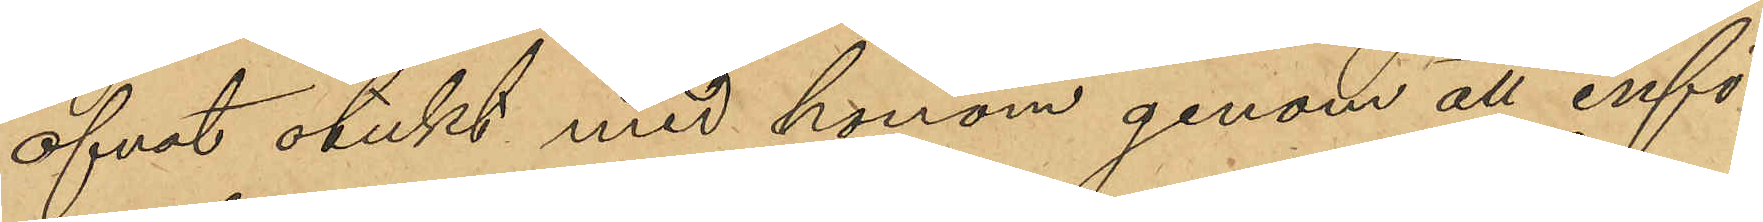öfvat otukt med honom genom att infö¬
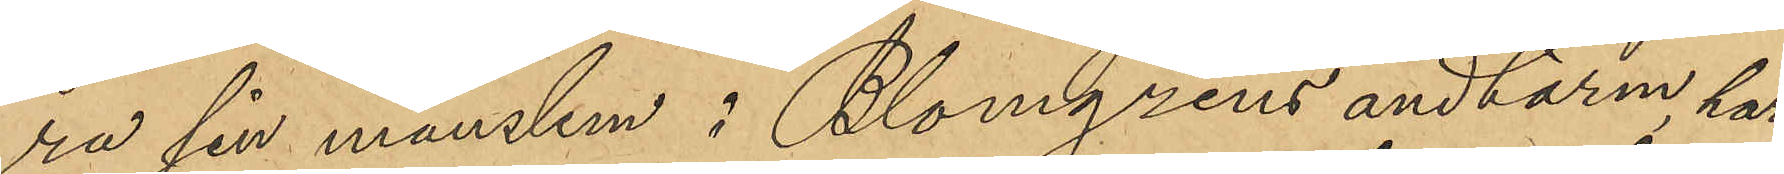ra sin manslem i Blomgrens ändtarm, har
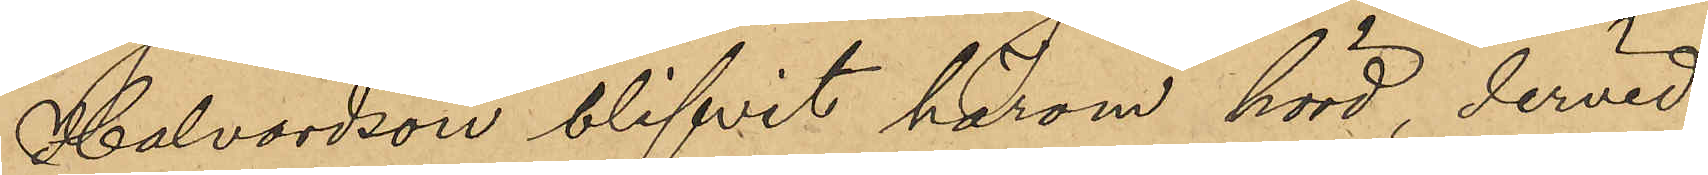Halvordson blifvit härom hörd, dervid
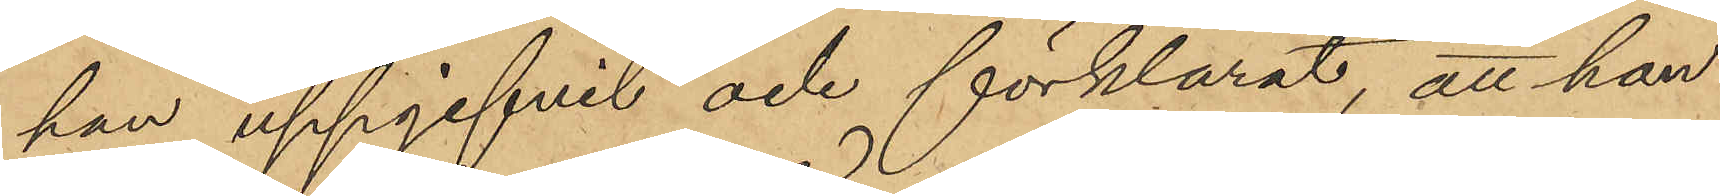han uppgifvit och förklarat, att han
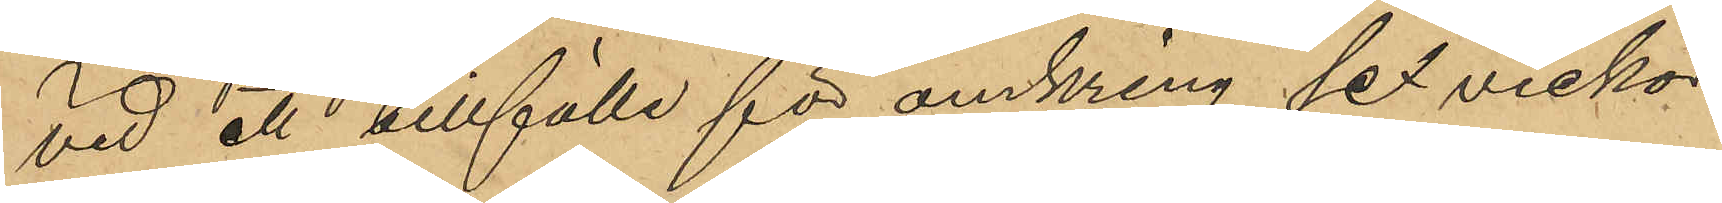vid ett tillfälle för omkring sex veckor
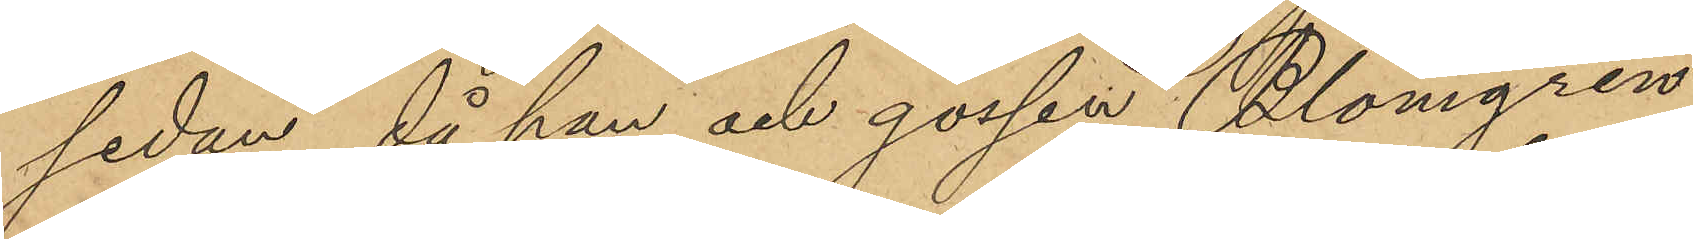sedan, då han och gossen Blomgren,
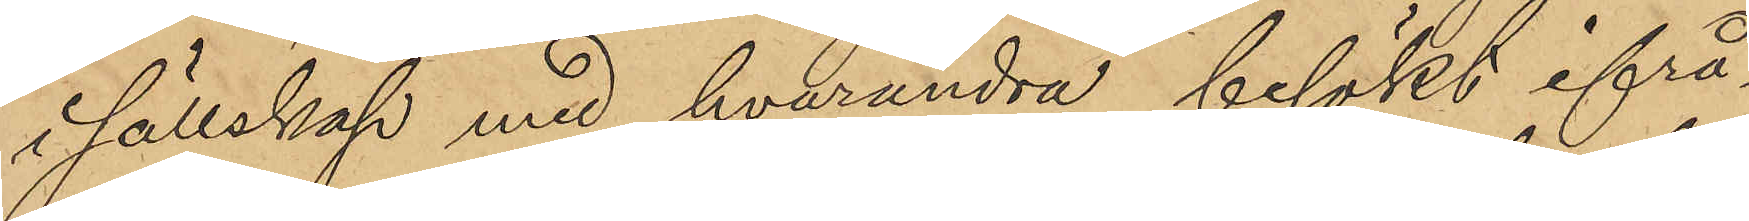i sällskap med hvarandra, besökt ifrå¬
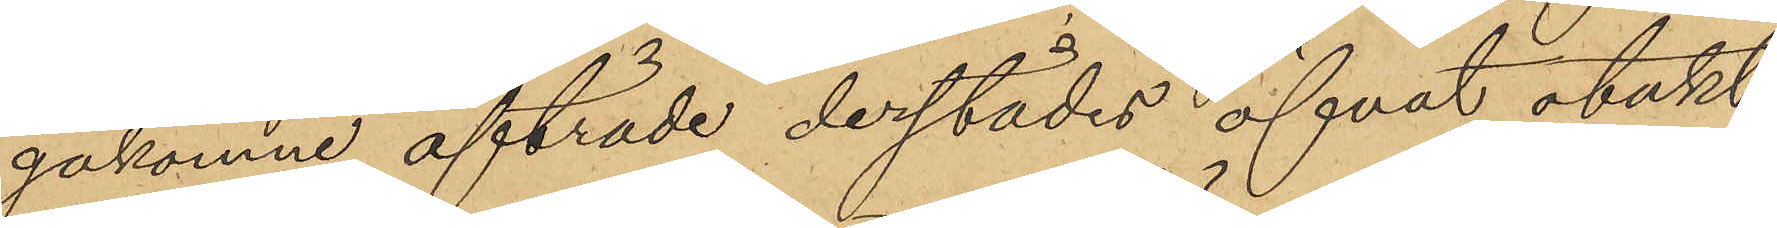gakomne afträde derstädes öfvat otukt
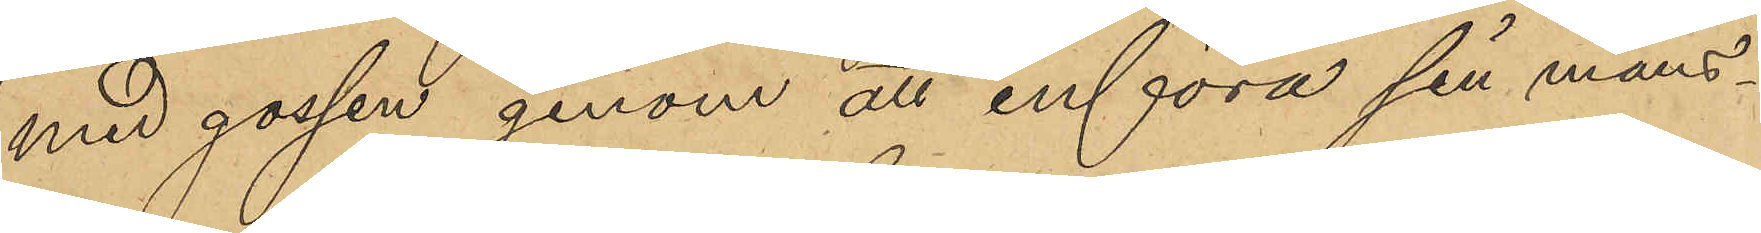med gossen genom att införa sin mans¬
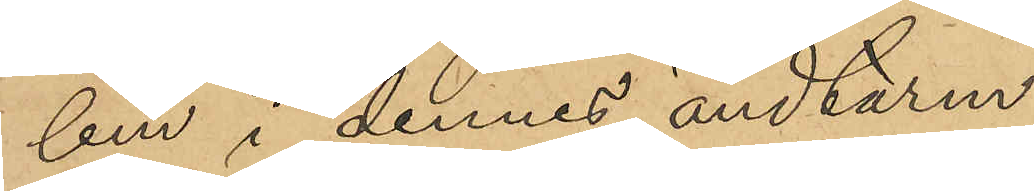lem i dennes ändtarm.
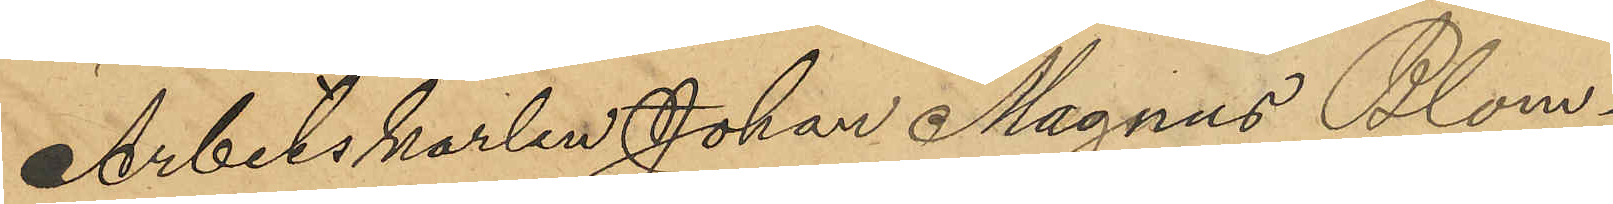Arbetskarlen Johan Magnus Blom¬
